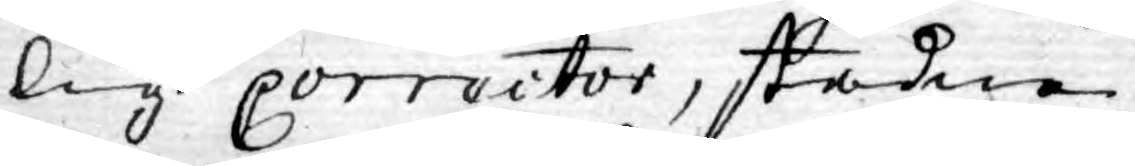lig correitor, stadne
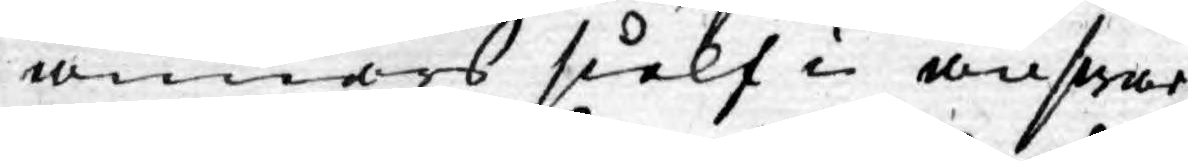annors sielf i answar
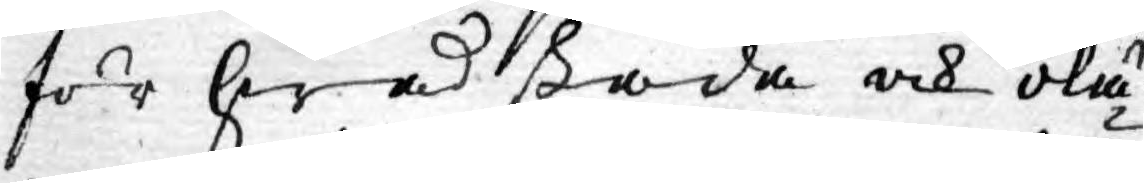för hwad skada och olä¬
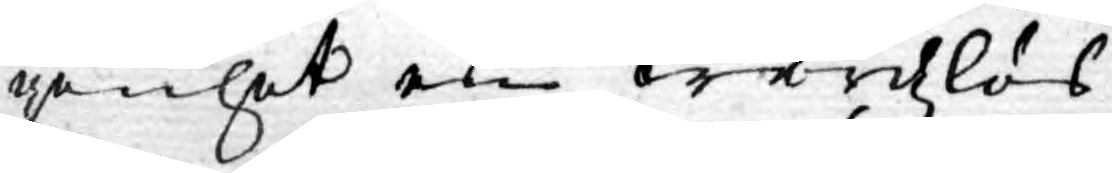genhet en wårdzlös
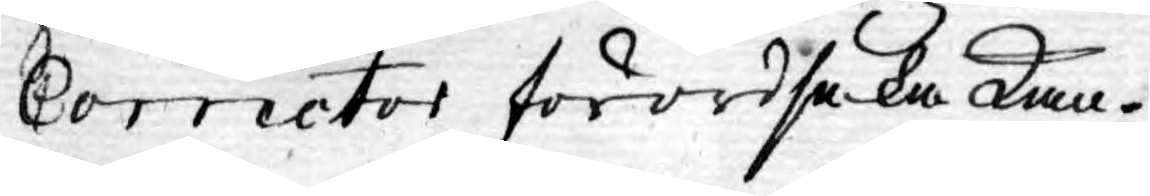Corrector förordsaka kan.
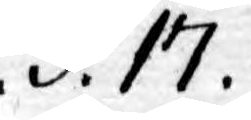.§.17.
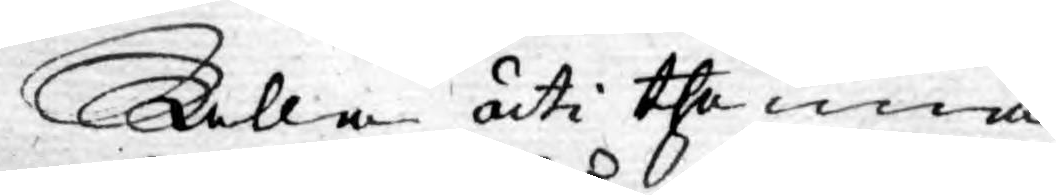Alla uti thenna
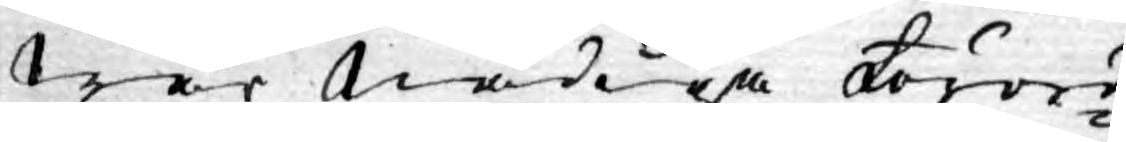Wår nådiga Förord¬
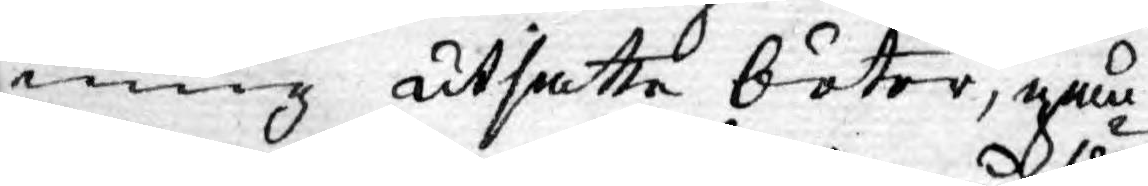ning utsatte böter, gån¬
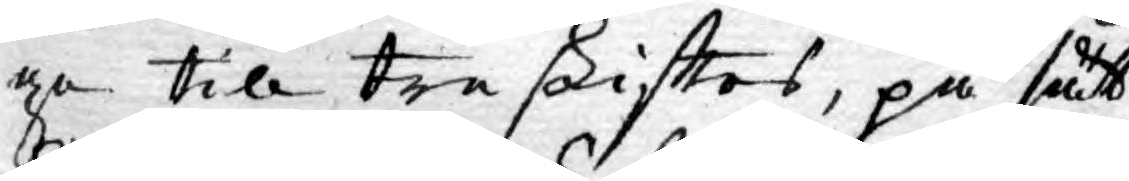ge till treskifttes, på sätt
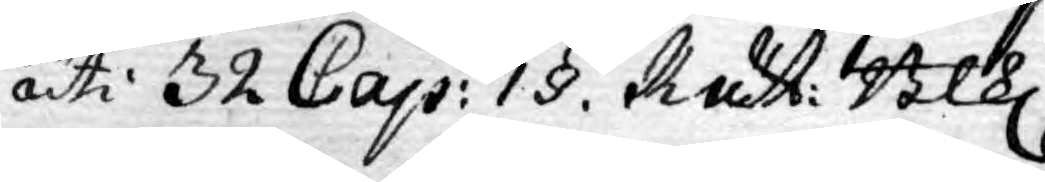uti 32 Cap: 1 §. Rätt: Blk.
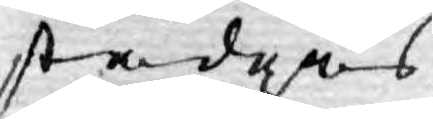stadgas.
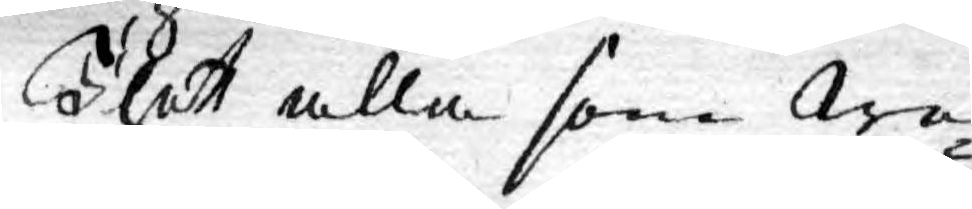Thet alla som We¬
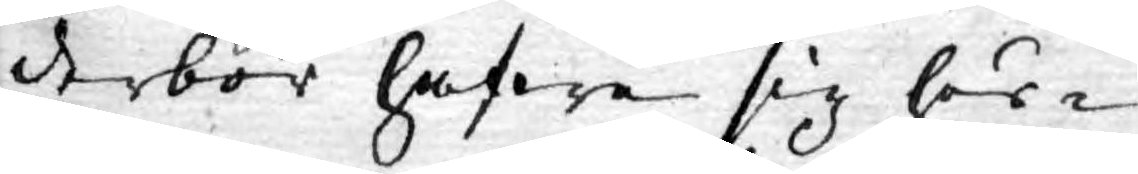derbör hafwa sig hör¬
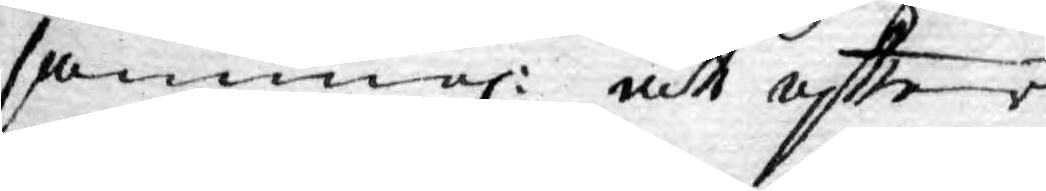samma: att eftter
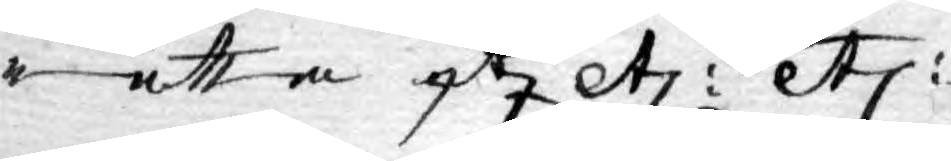rätta etc. etc: etc:
